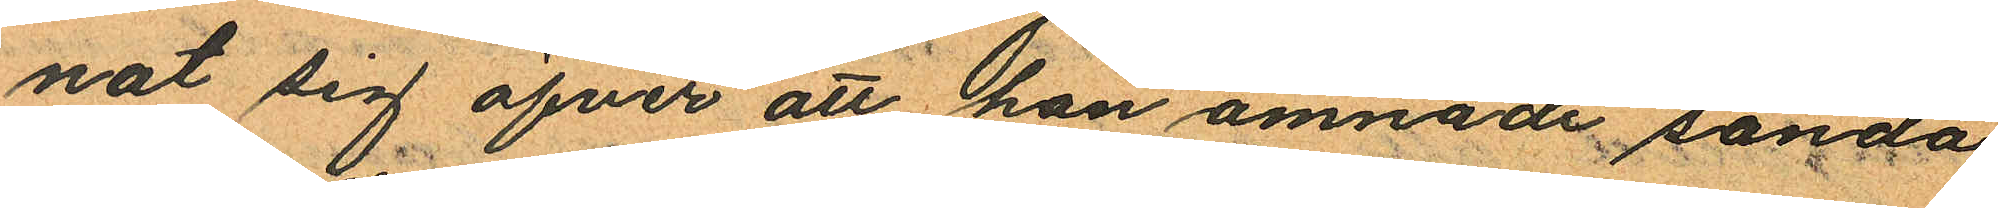nat sig öfver att han ämnade sända
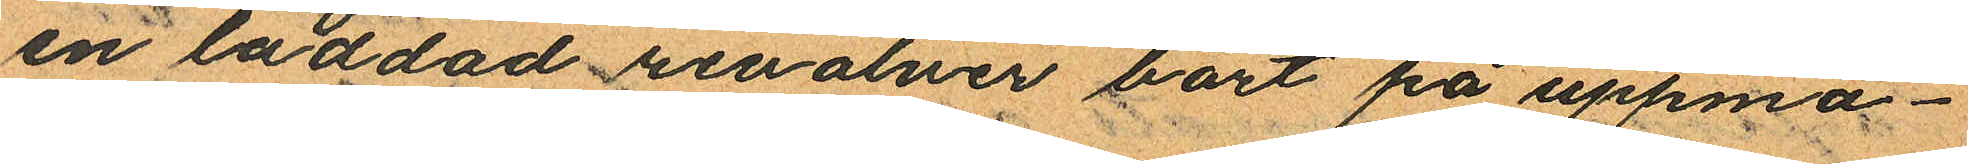en laddad revolver bort på uppma¬
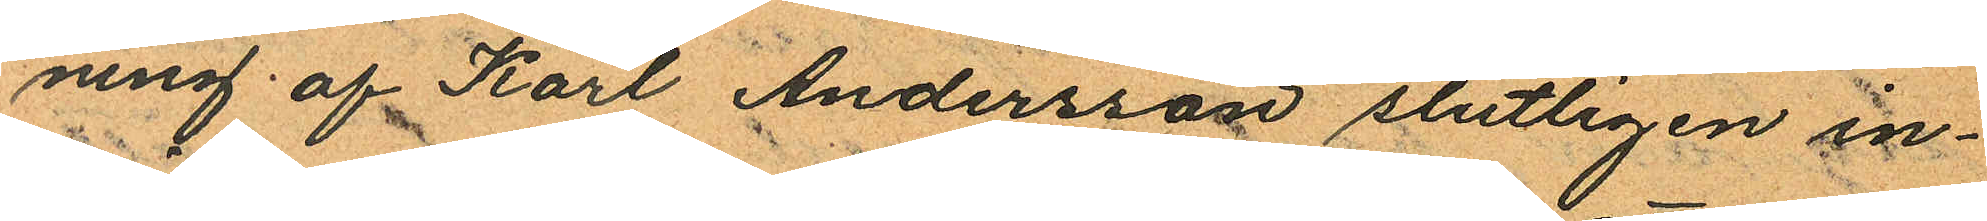ning af Karl Andersson slutligen in¬
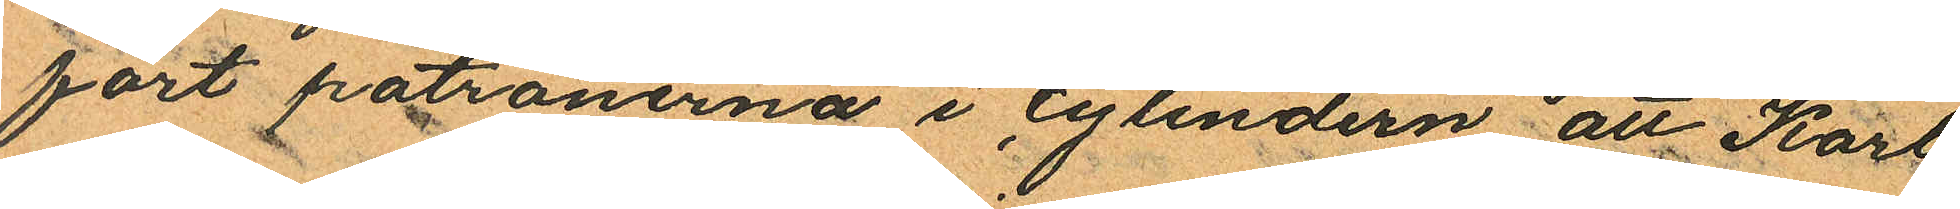fört patronerna i cylindern att Karl
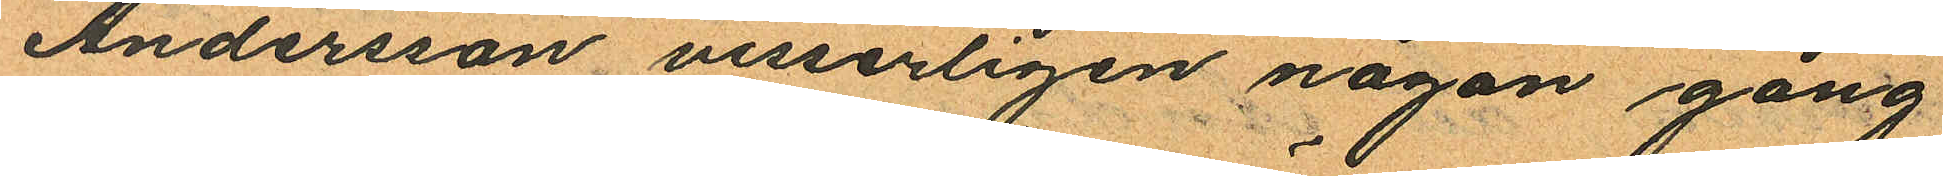Andersson visserligen någon gång
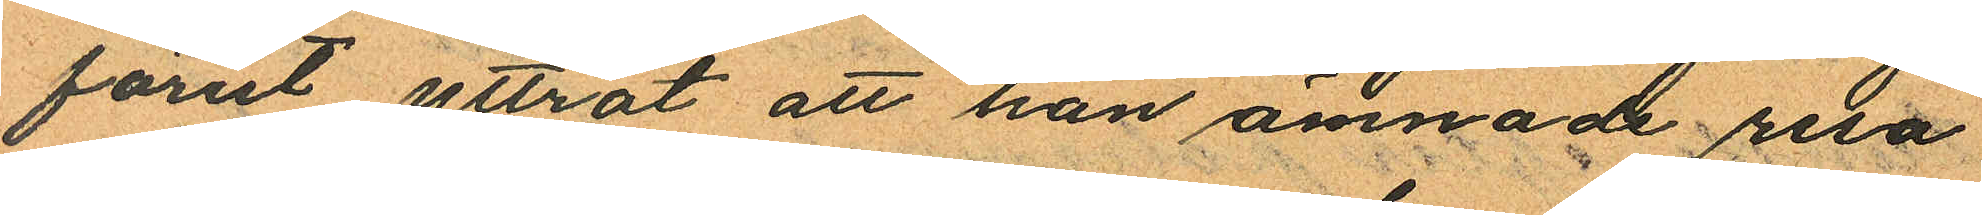förut yttrat att han ämnade resa
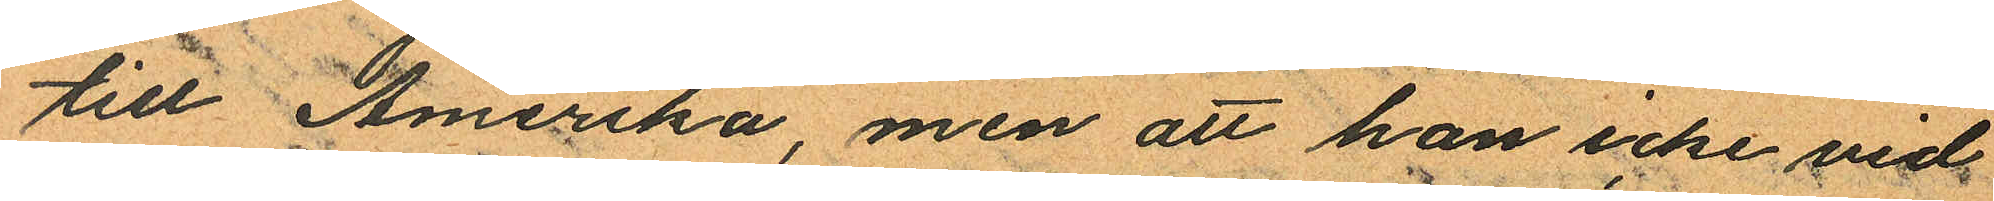till Amerika, men att han icke vid
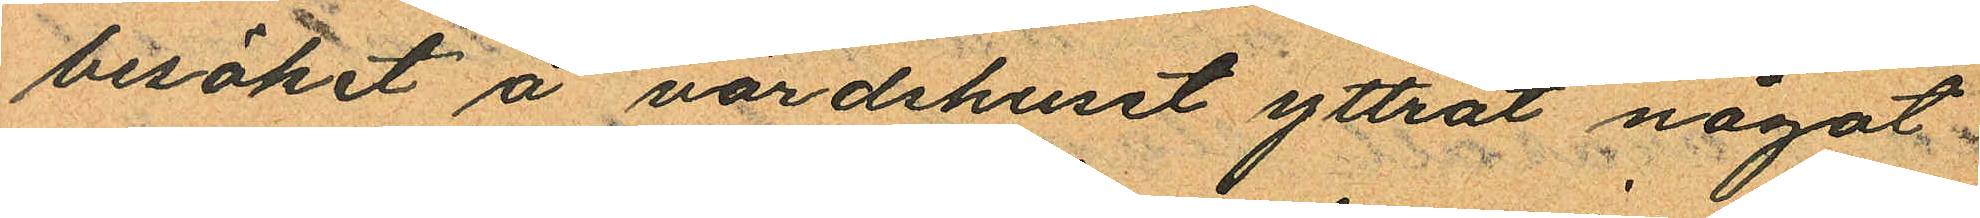besöket å värdshuset yttrat något
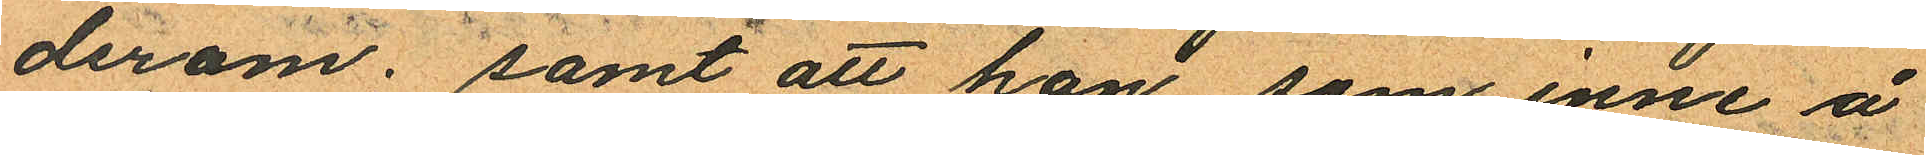derom; samt att han som inne å
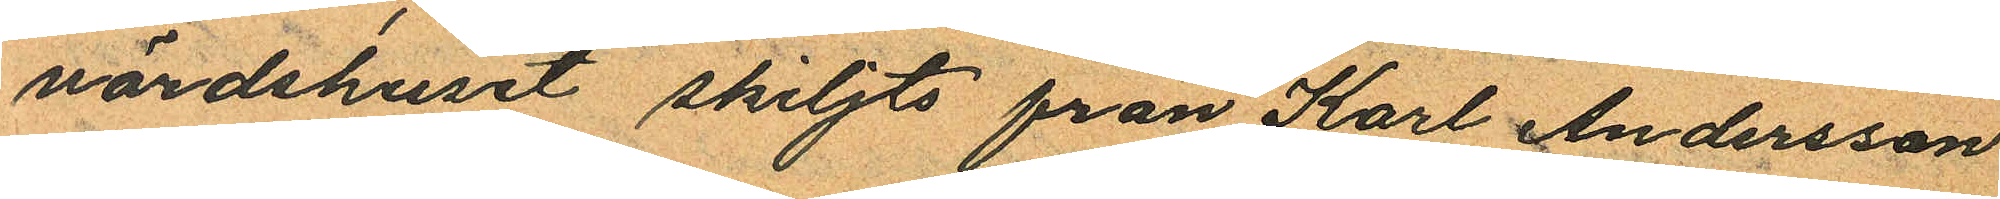värdshuset skiljts från Karl Andersson
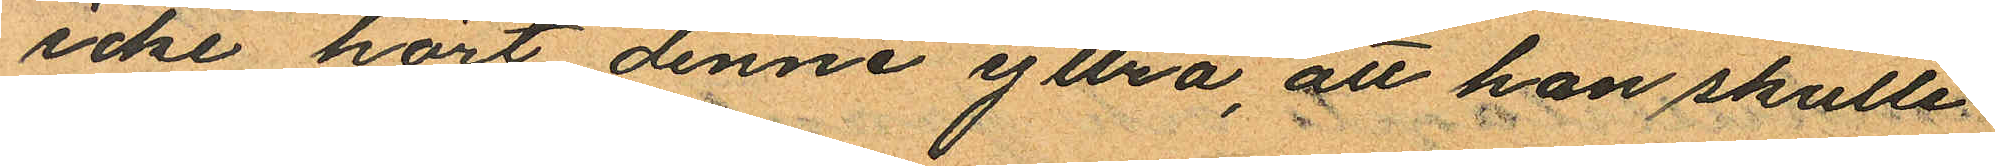icke hört denne yttra, att han skulle
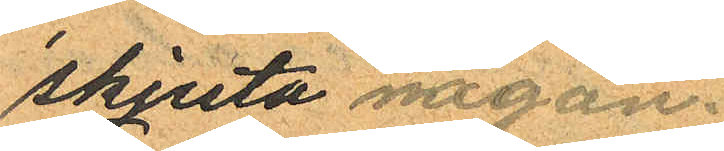skjuta någon.
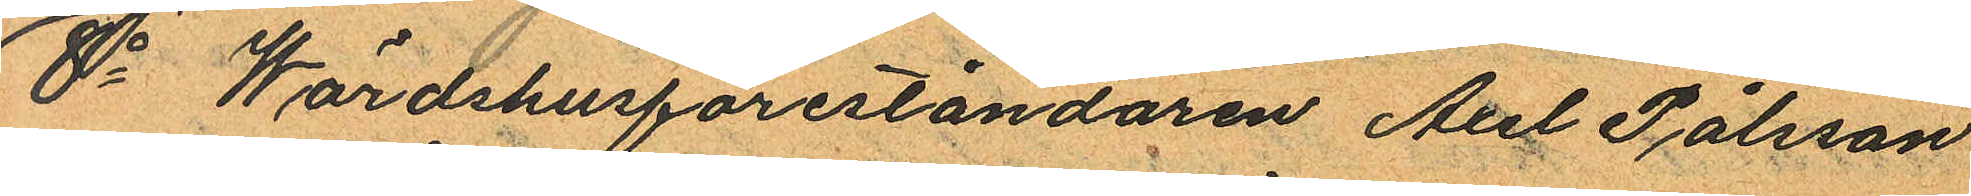8o Wärdshusföreståndaren Axel Pålsson
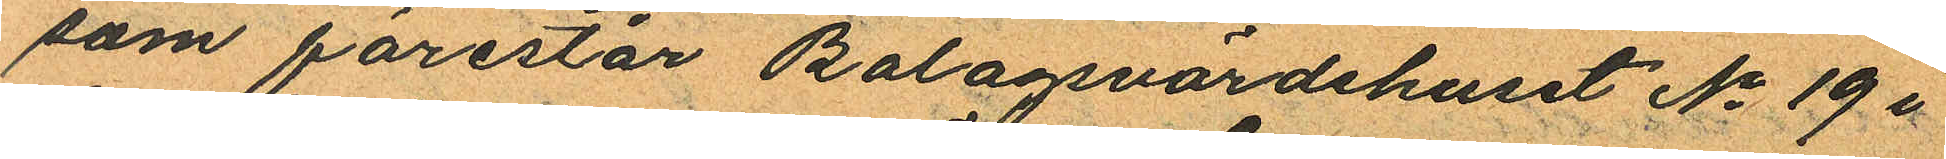som förestår Bolagsvärdshuset No 19 i
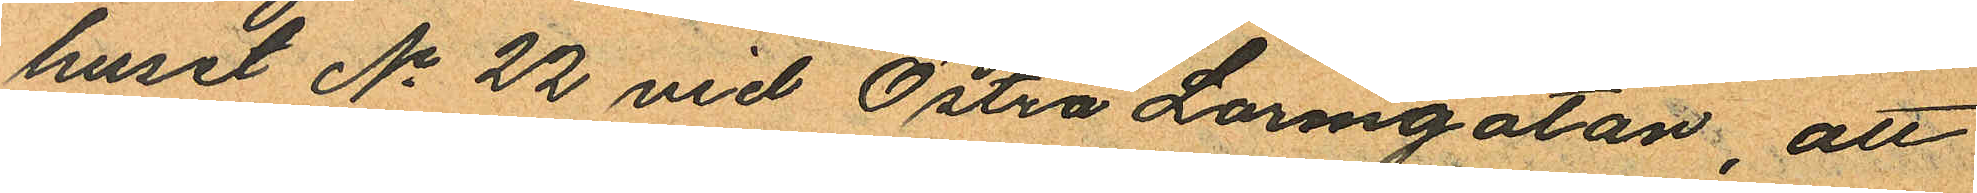huset No 22 vid Östra Larmgatan, att
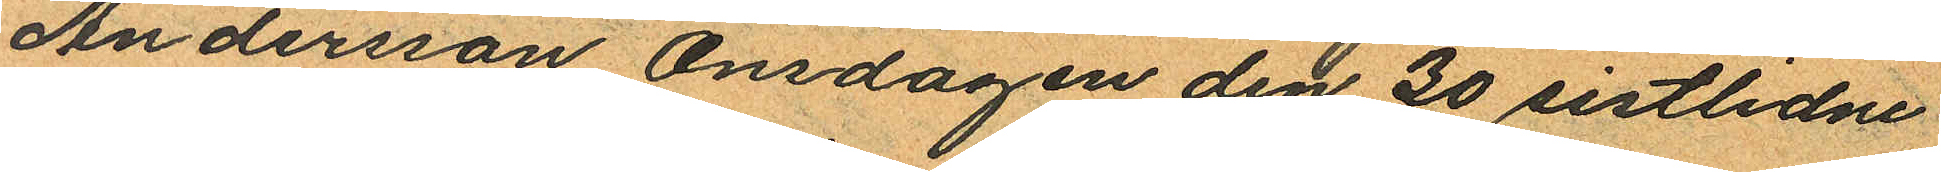Andersson Onsdagen den 20 sistlidne
